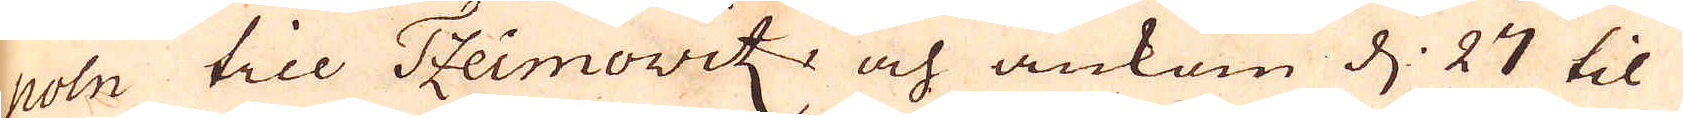poln till Tzeimovitz, och ankom d: 27 til
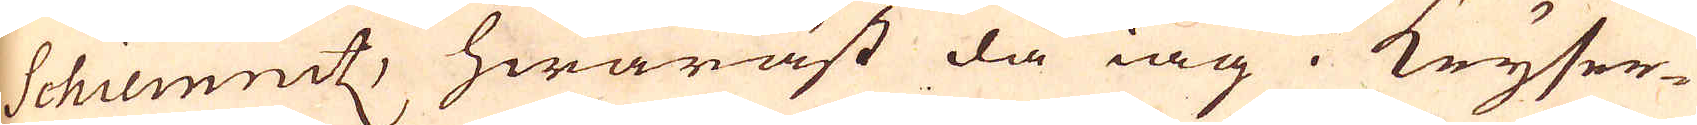Schiemnitz, hwaräst då iag. Keyser-
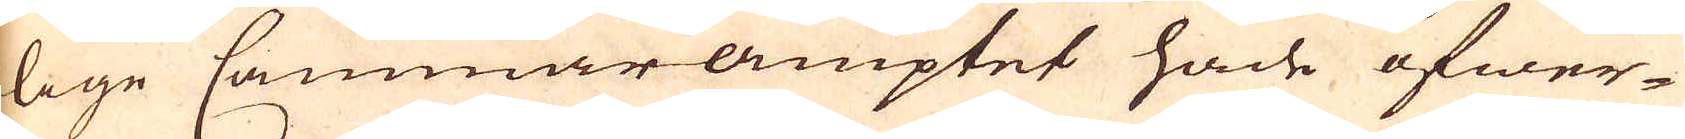lige Cammaramptet hade öfwer-
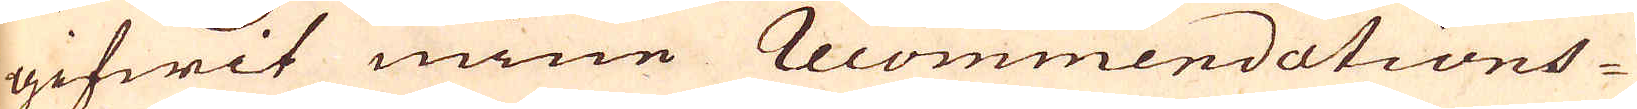gifwit mine Recommendations-
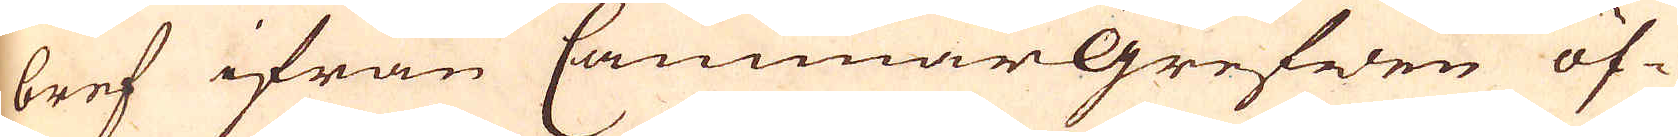bref ifrån Cammargrefwen öf-
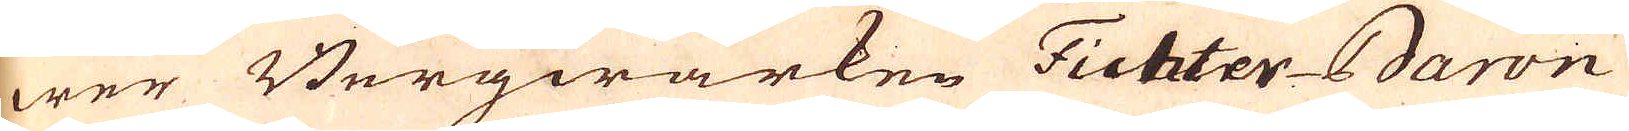wer Bergwärken Ficteter-Baron
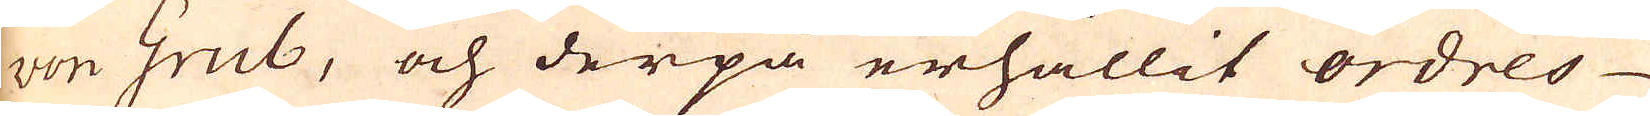von Grub, och derpå erhållit ordres
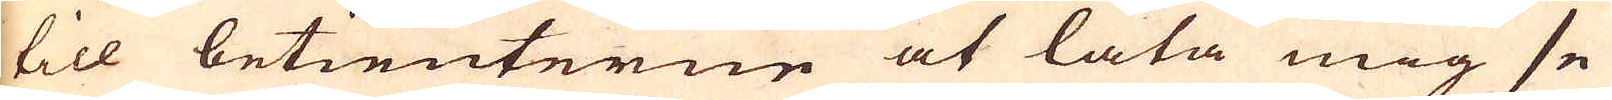till betienterne at låta mig se
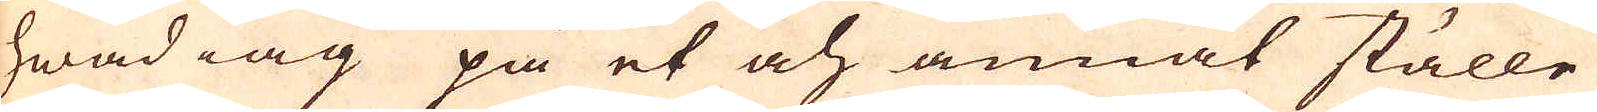hwad iag på et och annat ställe
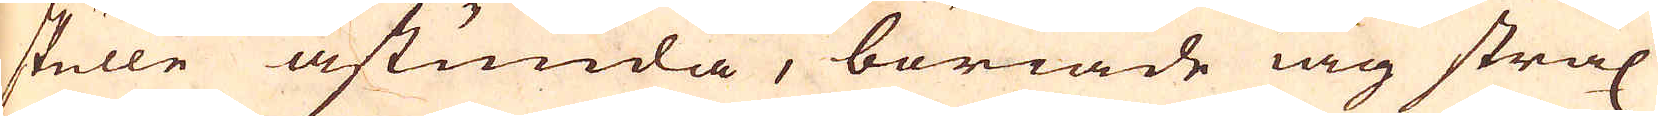skulle åstunda, böriade iag strax
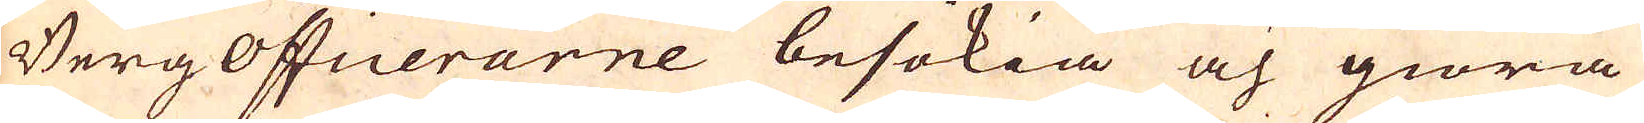Bergofficerarne besökia och giöra
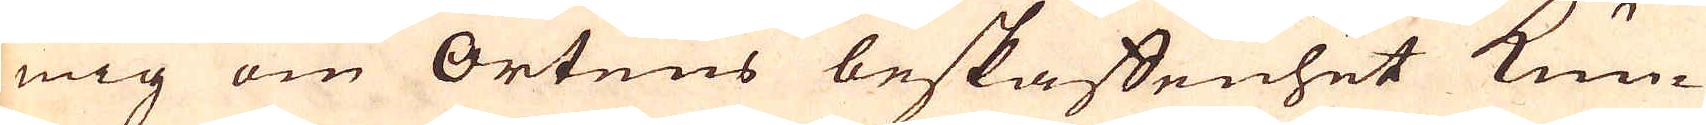mig om ortens beskaffenhet kun-
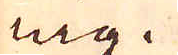nig.
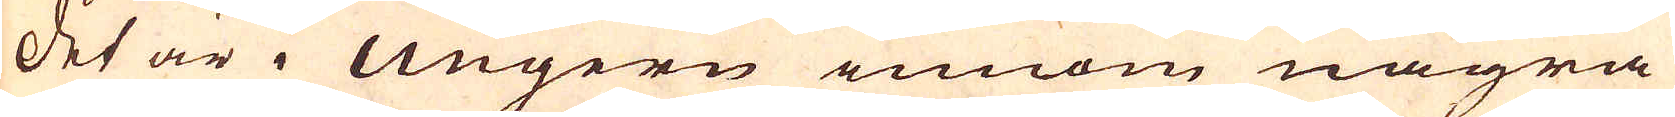Det är i Ungern innom några
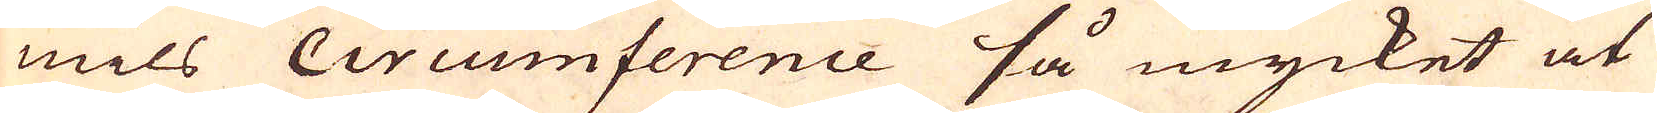mils circumference så mycket at
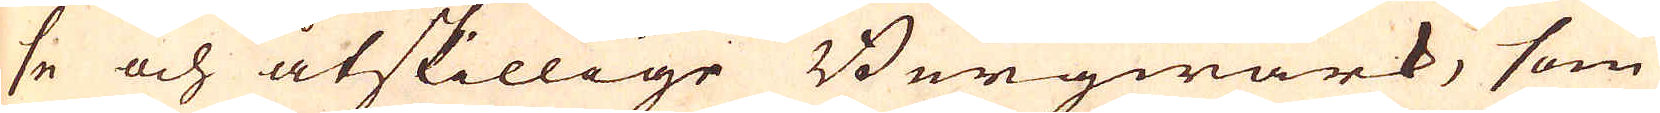se och åtskillige Bergwärk, som
